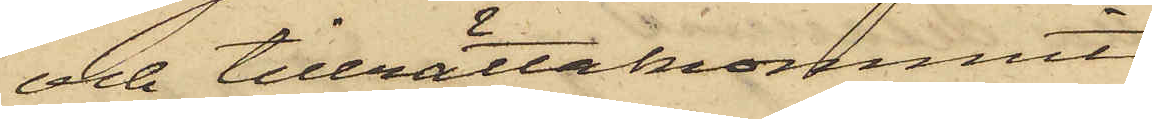och tillrättakommit.
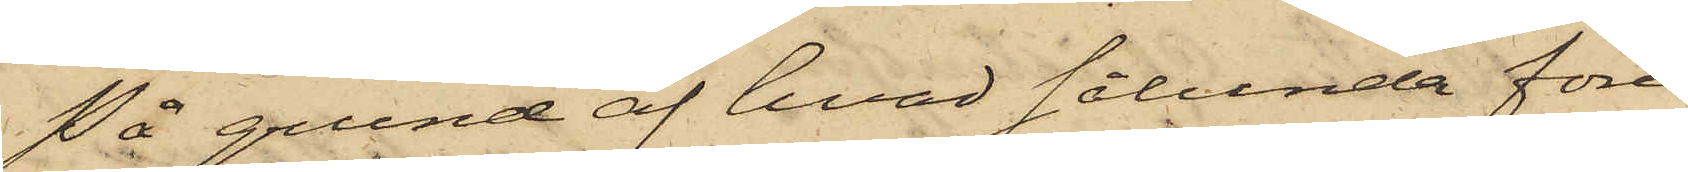På grund af hvad sålunda före¬
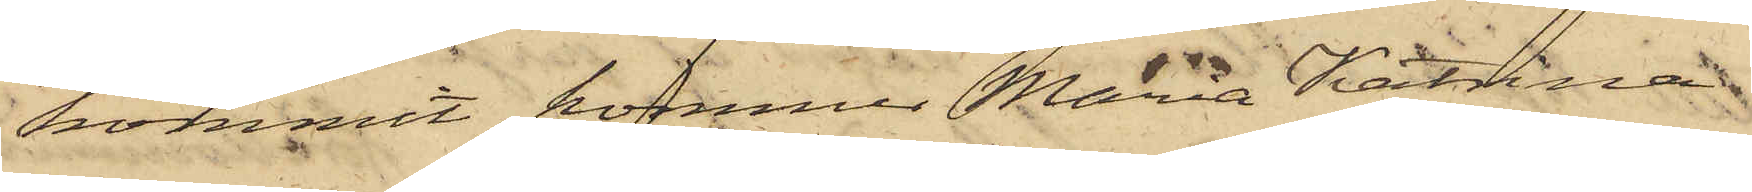kommit, kommer Maria Katrina
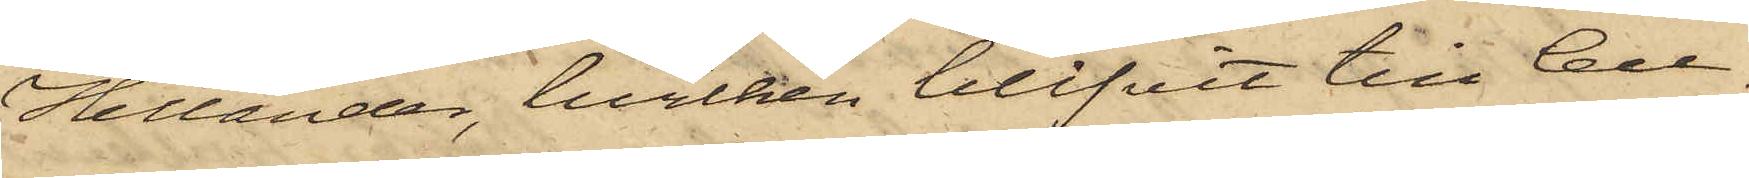Hellander, hvilken blifvit till Cell¬
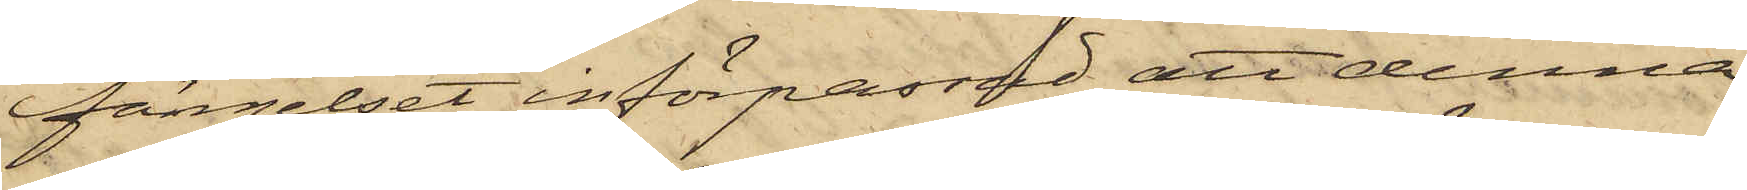fängelset införpassad, att denna
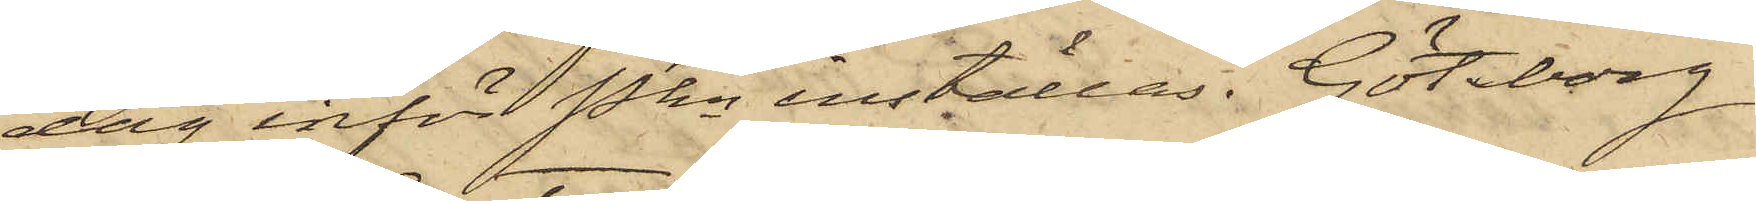dag inför Pkn inställas. Göteborg
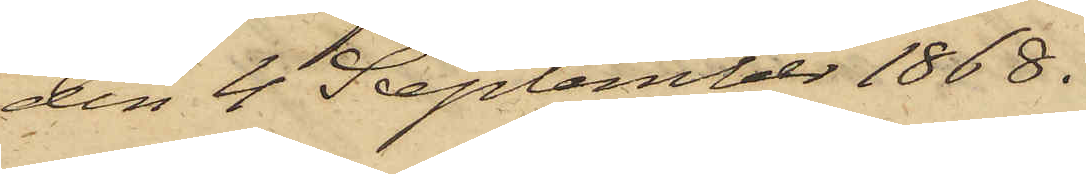den 4 September 1868.
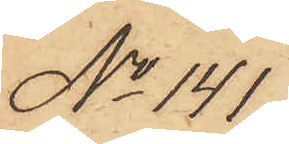No 141.
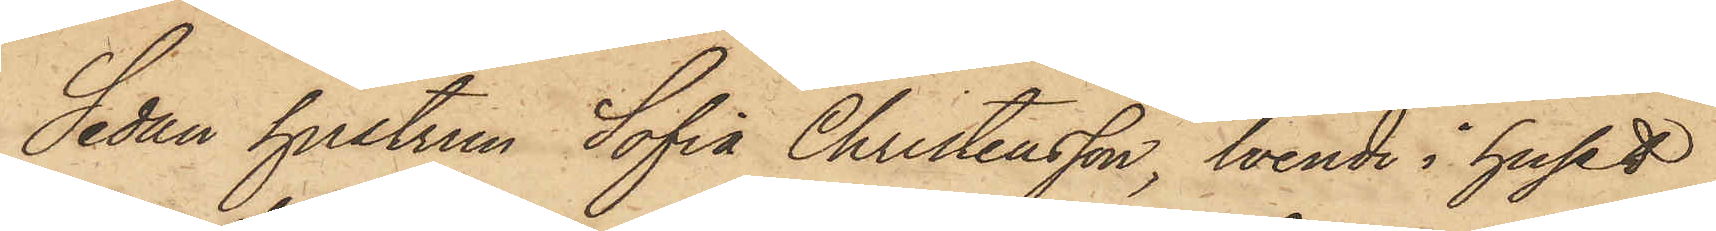Sedan hustrun Sofia Christensson, boende i huset
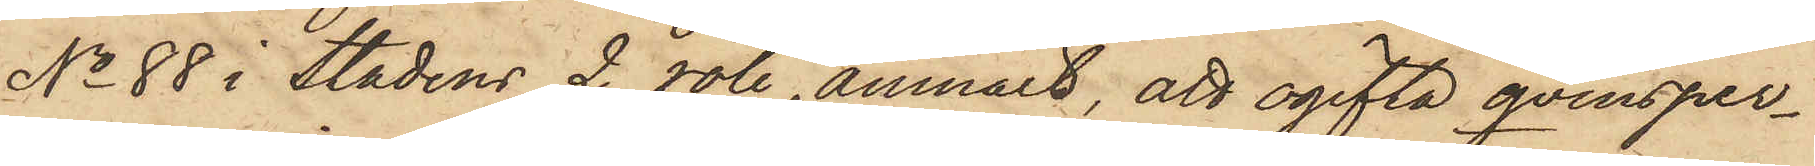No 88 i Stadens 2 rote, anmält, att ogifta qvinsper¬
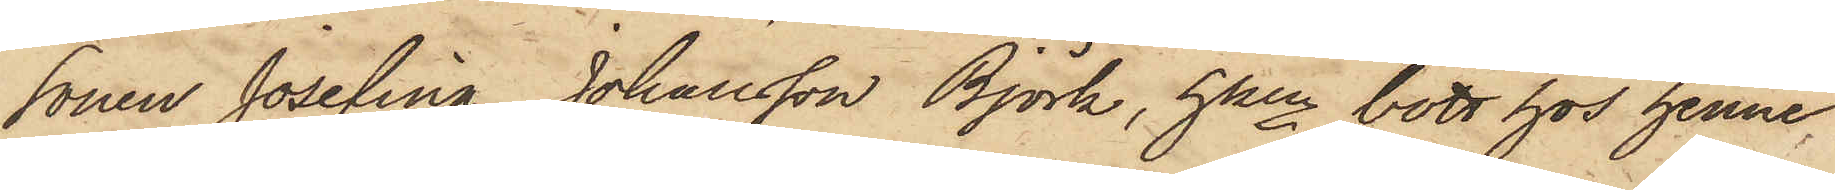sonen Josefina Johansson Björk, hken bott hos henne
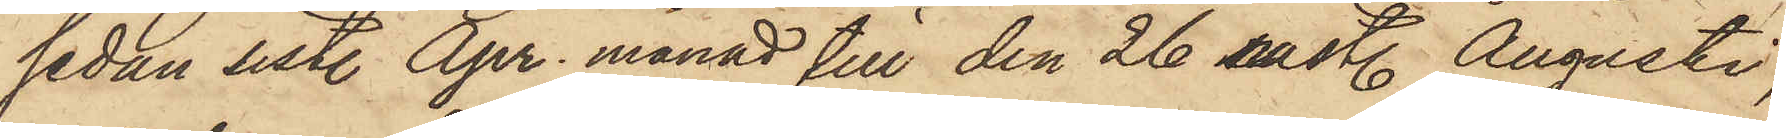sedan sist. Apr. månad till den 26 sistl. Augusti,
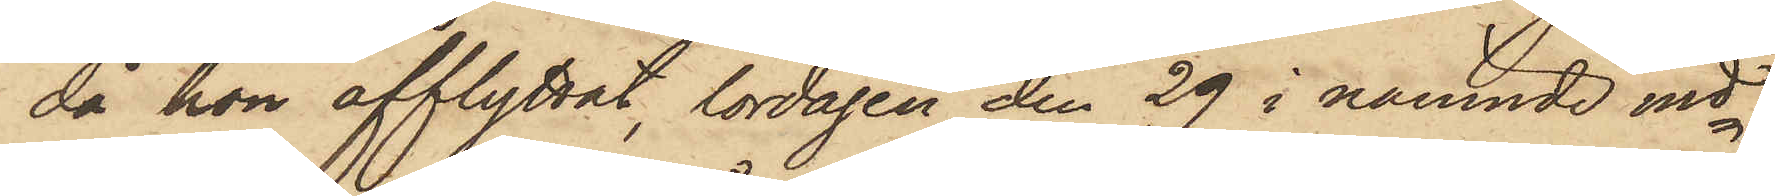då hon afflyttat, lördagen den 29 i nämnde md
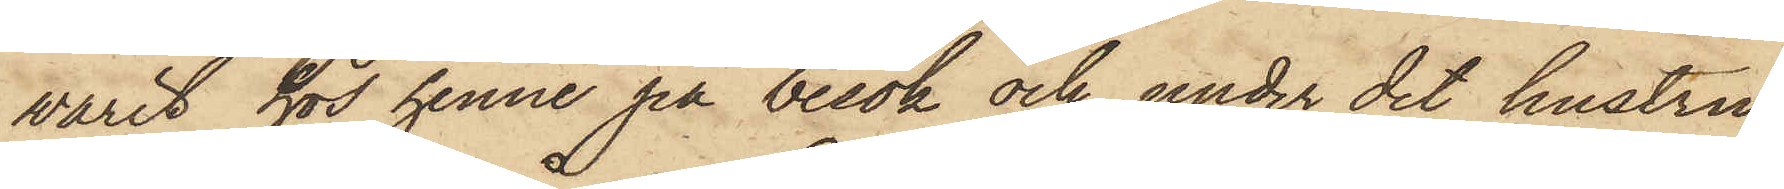varit hos henne på besök och, under det hustru
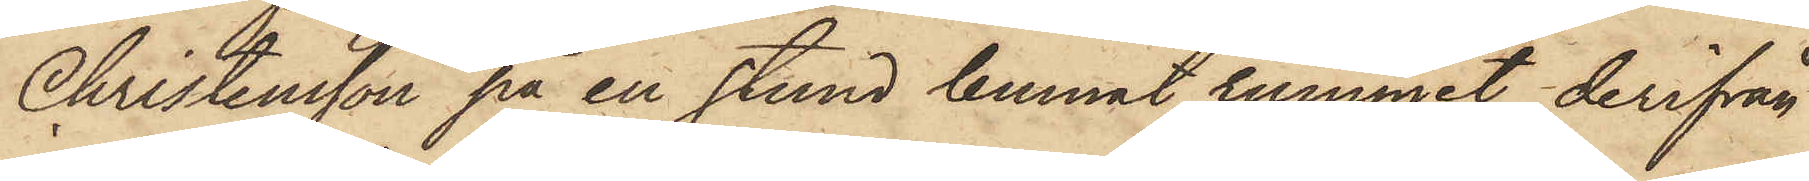Christensson på en stund lemnat rummet, derifrån
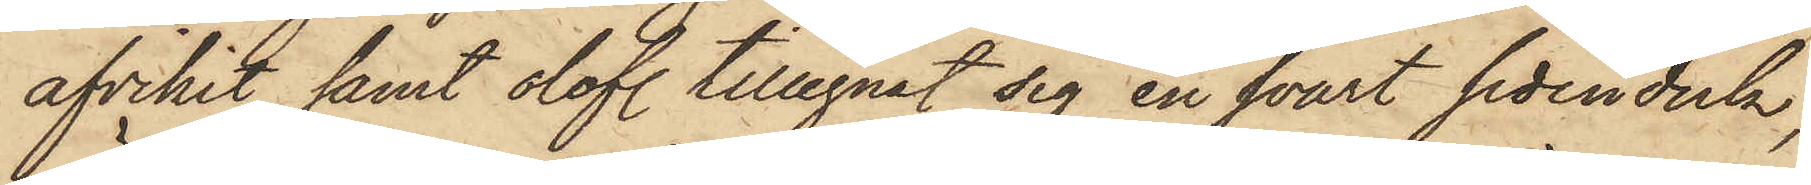afvikit samt olofl. tillegnat sig en svart sidenduk,
